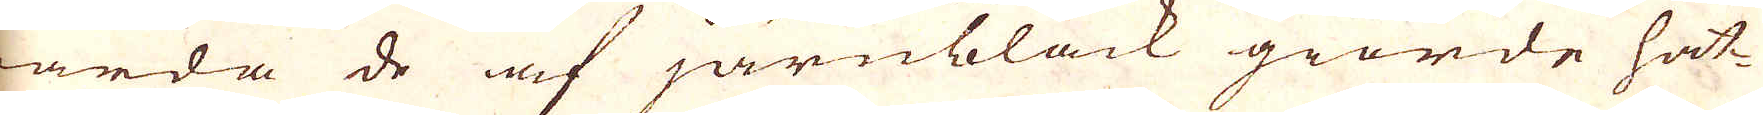warda de af järnbläck giorde hat-
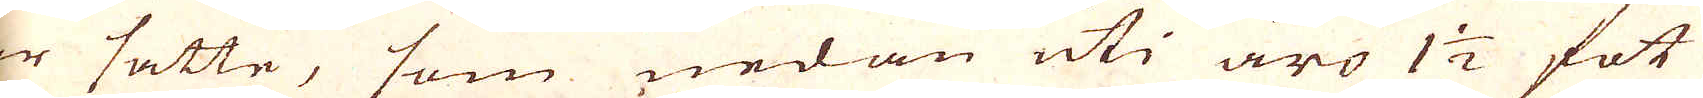tar sätte, som nedan uti äro 1 1/2 fot
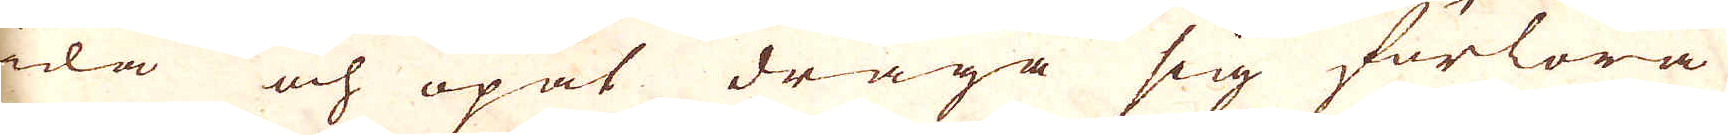wida och upåt draga sig förlora
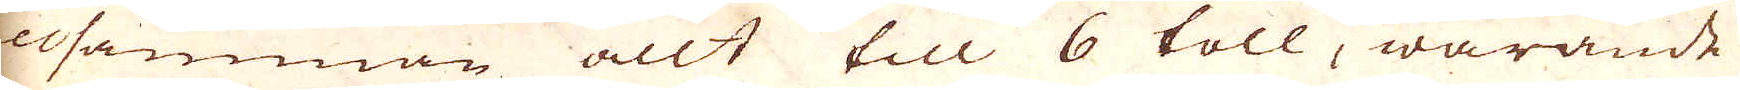tillsamman allt till 6 toll, warande
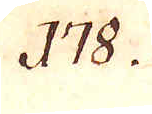178.
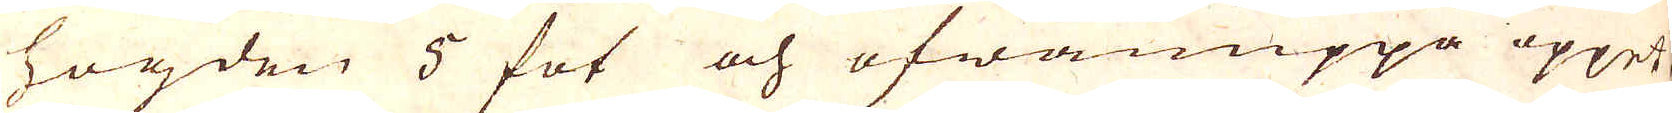hogden 3 fot och ofwanuppå öppet.
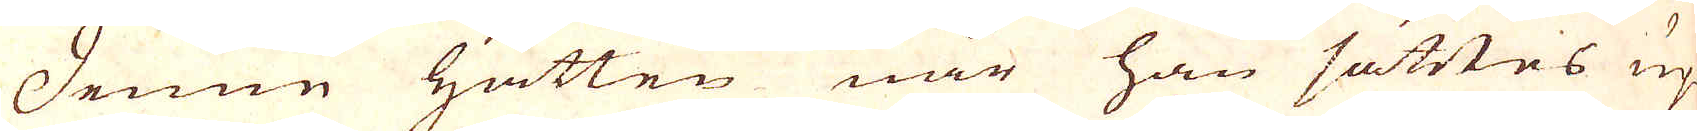Denne hatten när han sättes up-
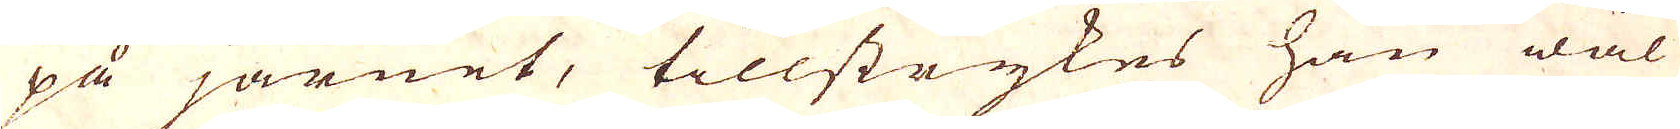på järnet, tillstrykes han wäl
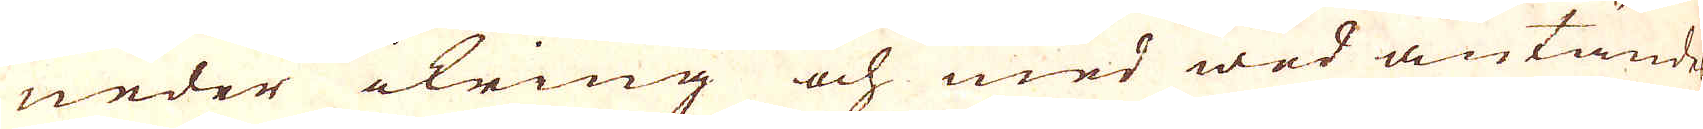neder ikring och med wed antändes
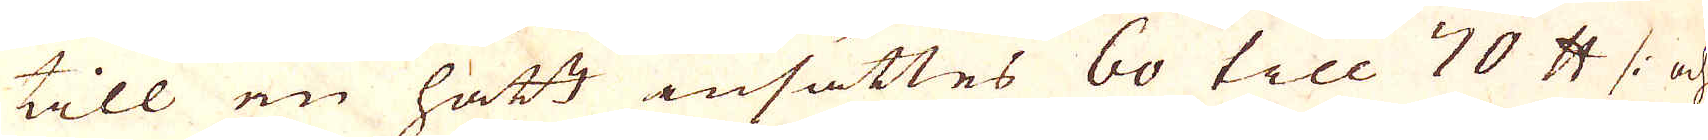till en hatt insättes 60 till 70 skålpund /: och
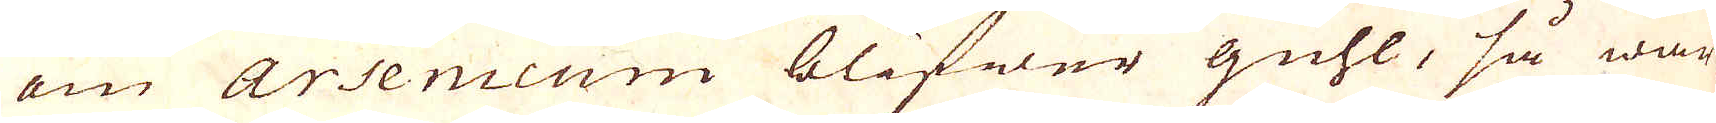om Arsenicum blifwer Guhl, så war-
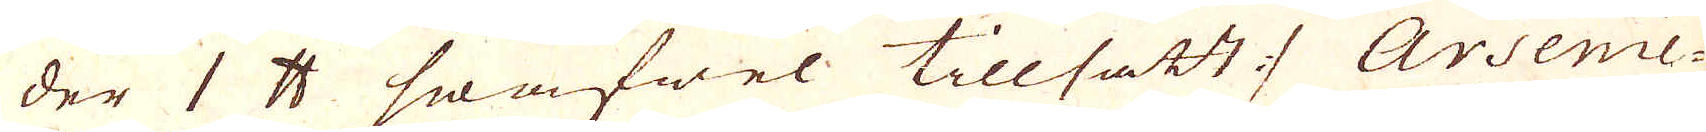der 1 skålpund swafwel tillsatt :/ Arsenic-
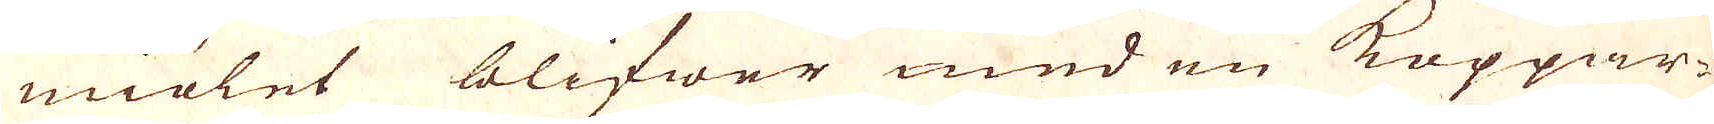miölet blifwer med en Koppar-
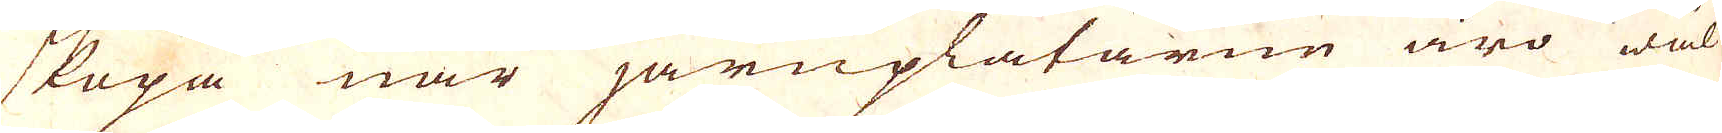skopa när järnplåtarne äro wäl
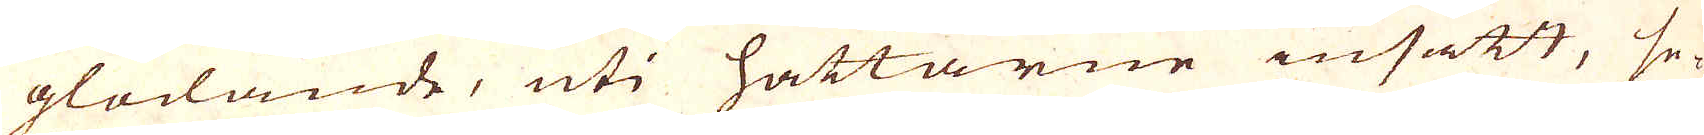glödande, uti hättarne insatt, se-
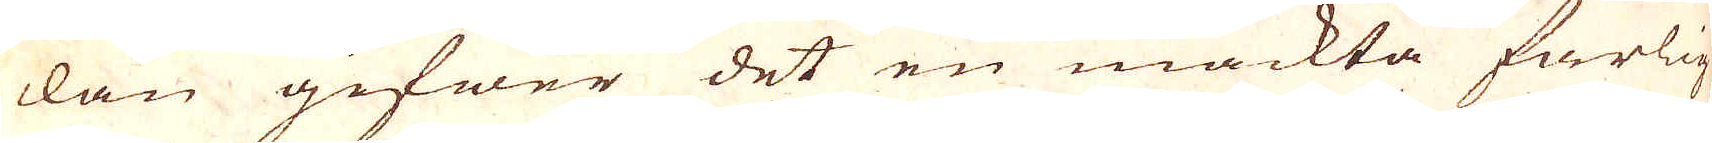dan gifwer det en mäckta farlig
